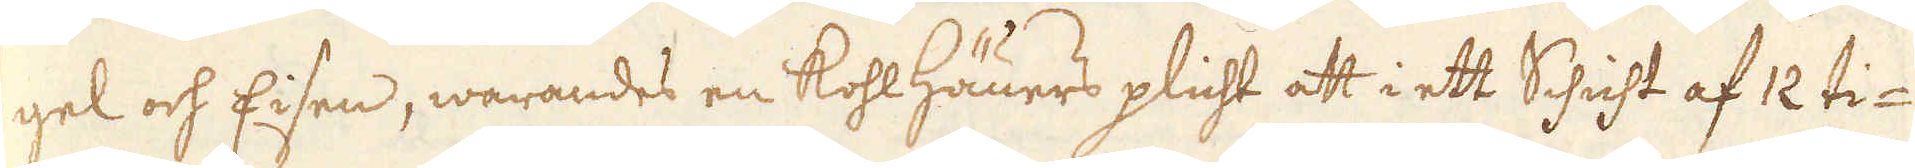gel och Eisen, warandes en Kohl Häuers plicht att i ett Schicht af 12 ti-
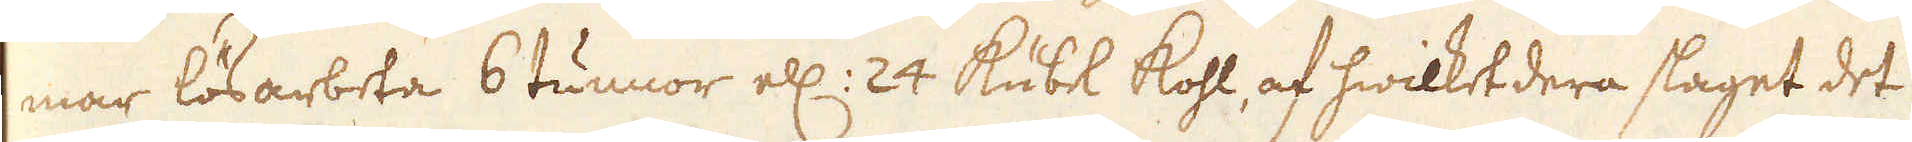mar lösarbeta 6 tunnor ell: 24 Kübel kohl, af hwilket dera slaget det
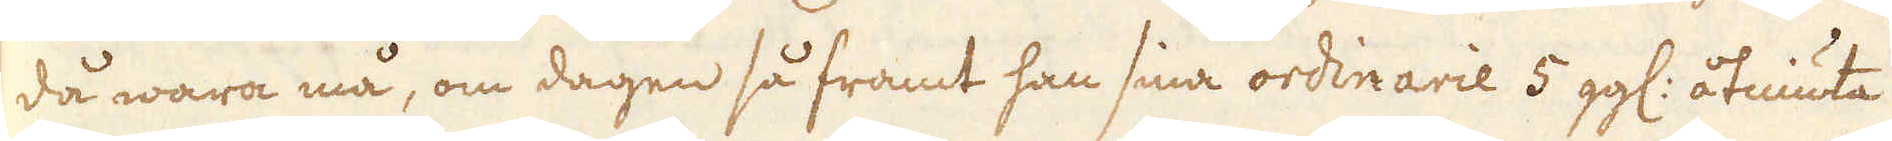då wara må, om dagen så framt han sina ordinarie 5 gg: åtniuta
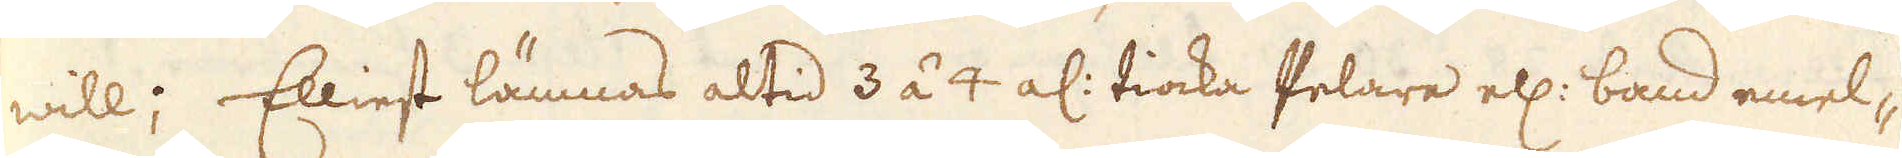will; Elliest lämnas altid 3 á 4 al: tiocka Pelare ell: band emel-
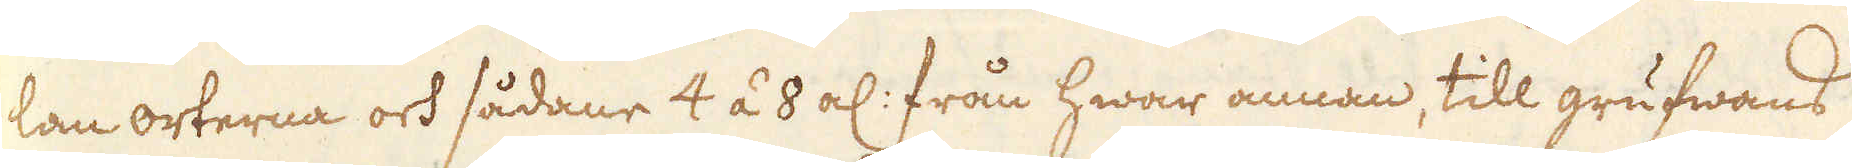lan orterna och sådane 4 á 8 al: från hwar annan, till grufwans
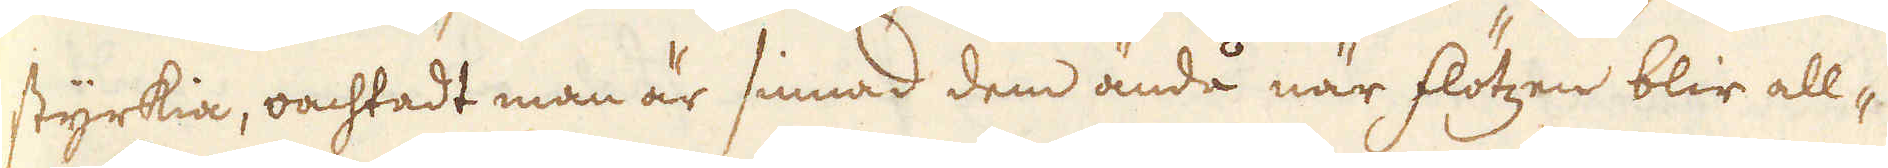styrkia, oachtadt man är sinnad dem ändå när flötzen blir all-
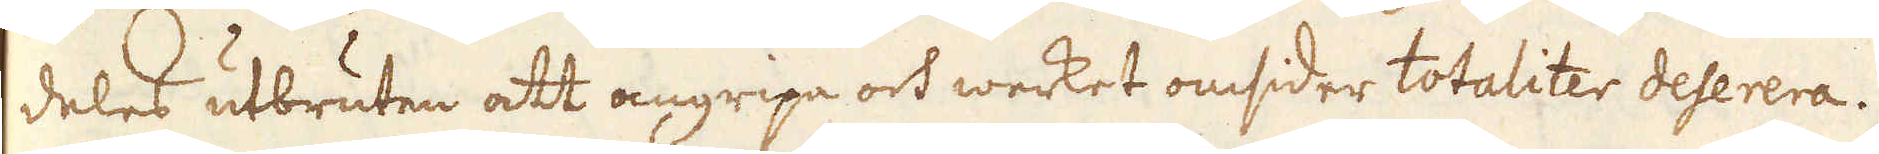deles utbruten att angripa och werket omsider totaliter deserera.
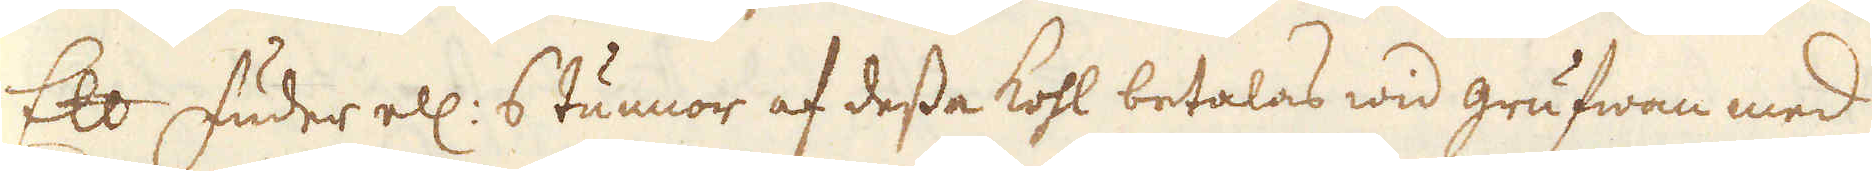Ett Fuder ell: 6 tunnor af dessa kohl betalas wid grufwan med
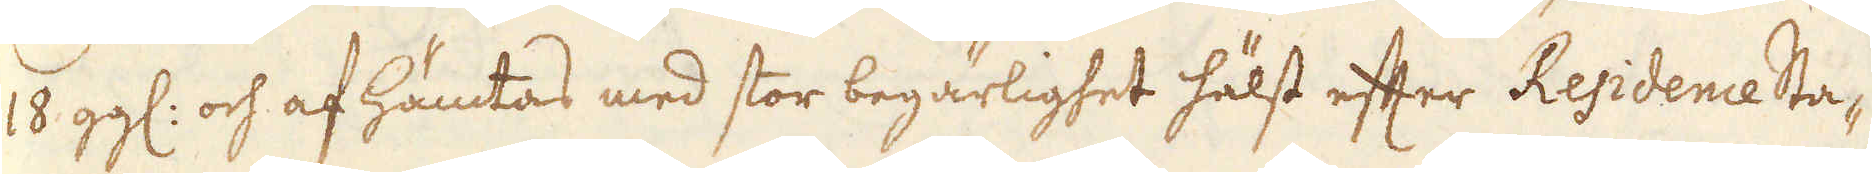18 gg: och af hämtas med stor begärlighet hälst efter Residence Sta-
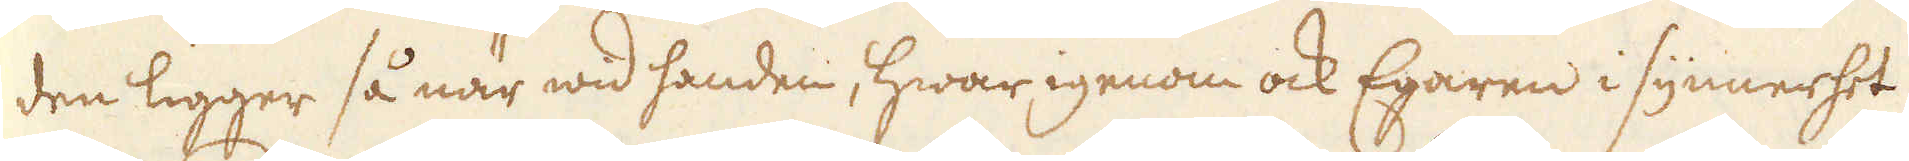den ligger så när wid handen, hwar igenom ock Egaren i synnerhet
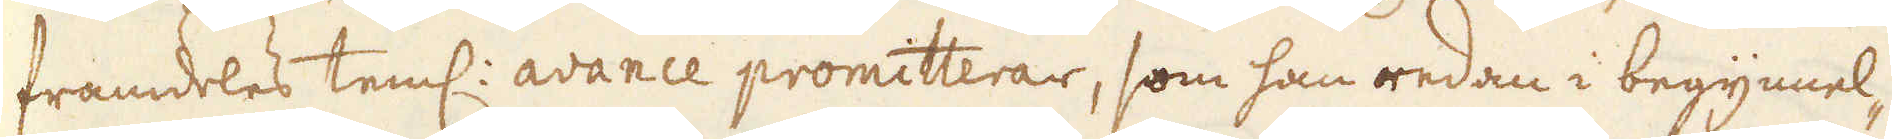framdeles teml: avance promitterar, som han redan i begynnel-
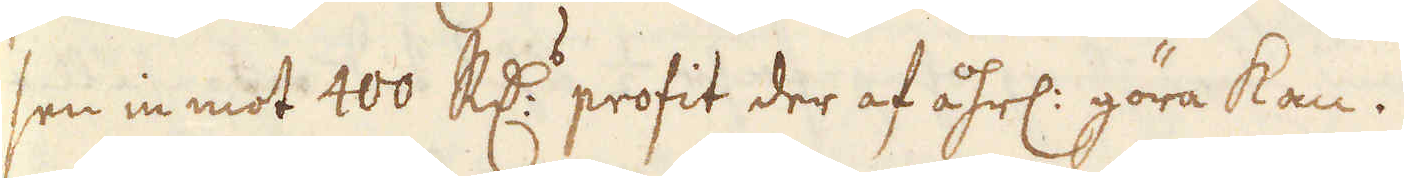sen in mot 400 R:drs profit der af åhrl: göra kan.
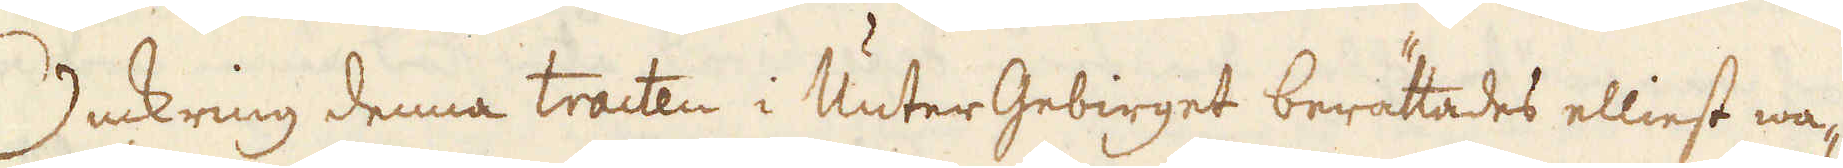Omkring denna tracten i Unter Gebirget berättades elliest wa-
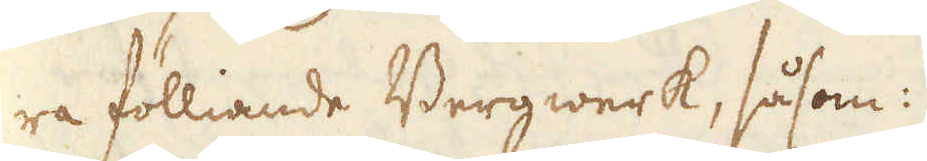ra fölliande Bergwerk, såsom:
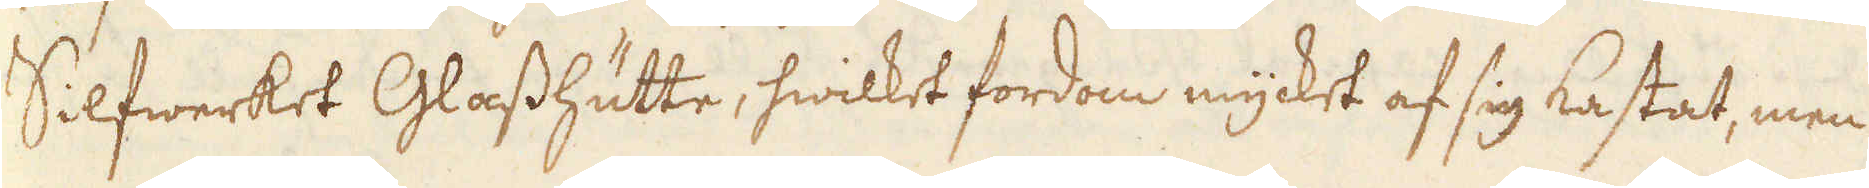Silfwerket Glasshütte, hwilket fordom mycket af sig kastat, men
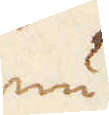nu
